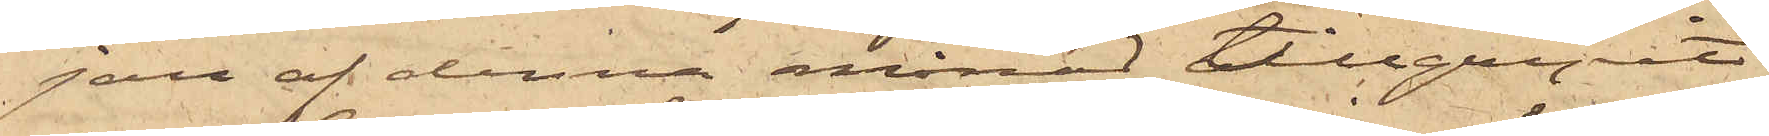jan af denna månad tillgripit
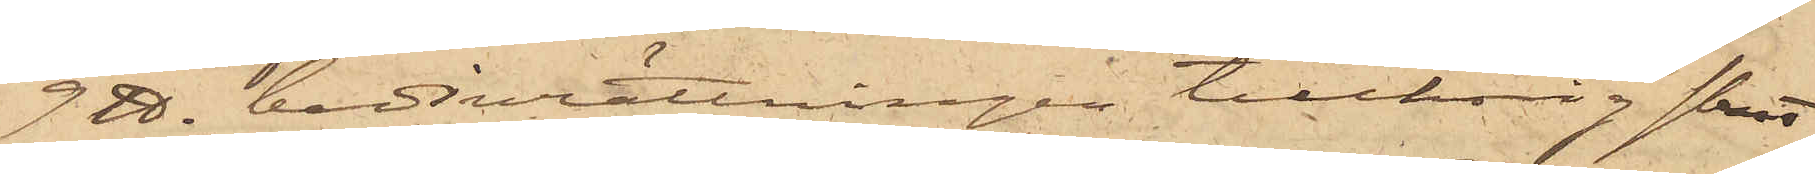9 ℔ badinrättningen tillhörig skrot¬
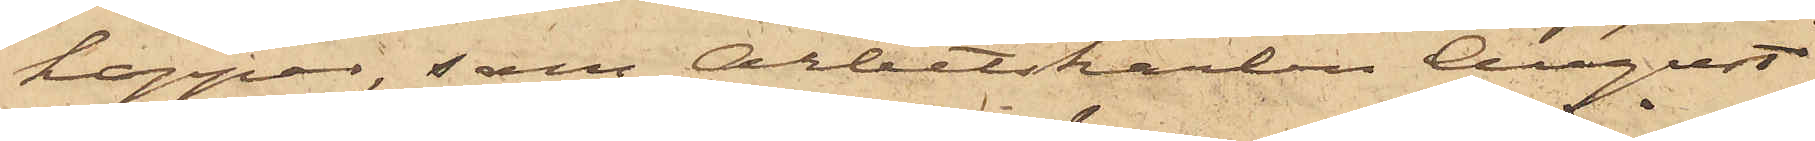koppar, som Arbetskarlen August
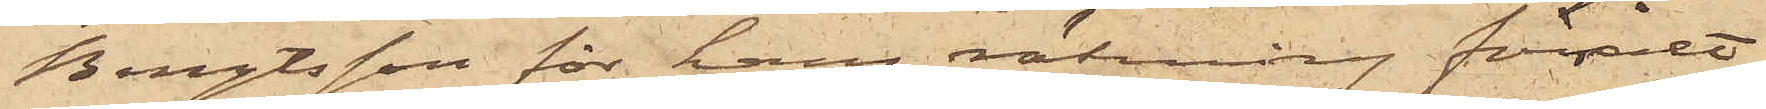Bengtsson för hans räkning försålt
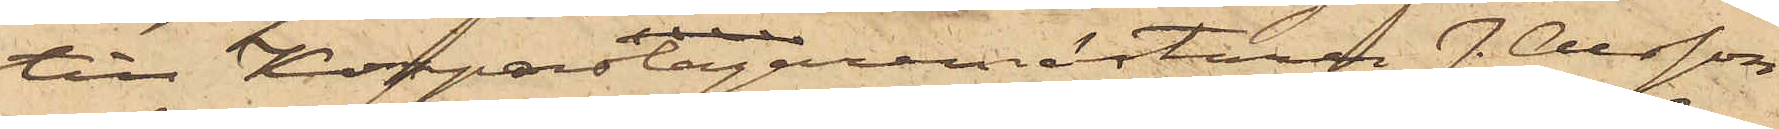till Kopparslagaremästaren J. Olsson
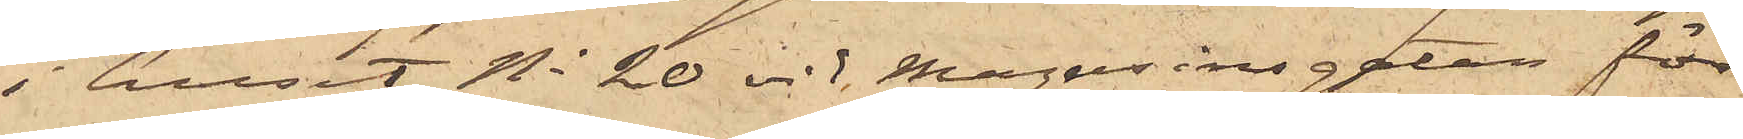i huset No 20 vid Magasinsgatan för
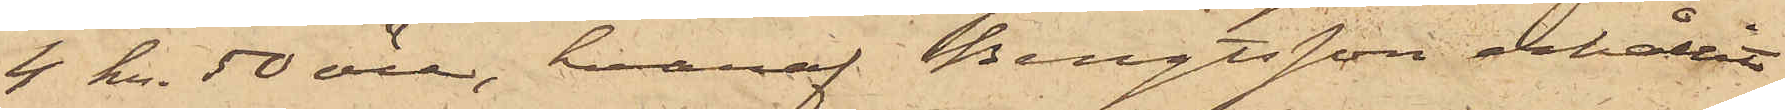4 kr. 50 öre, hvaraf Bengtsson erhållit
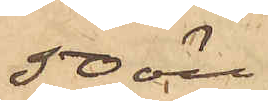50 öre.
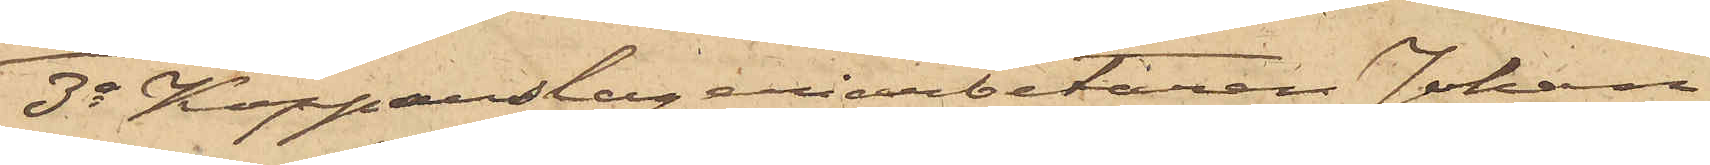3o Kopparslageriarbetaren Johan
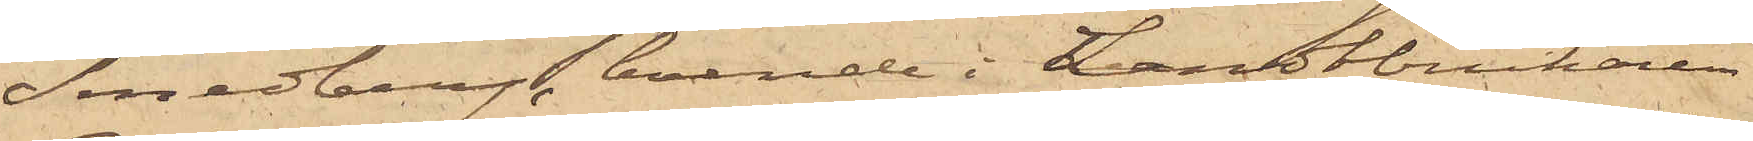Lundberg, boende i Landtbrukaren
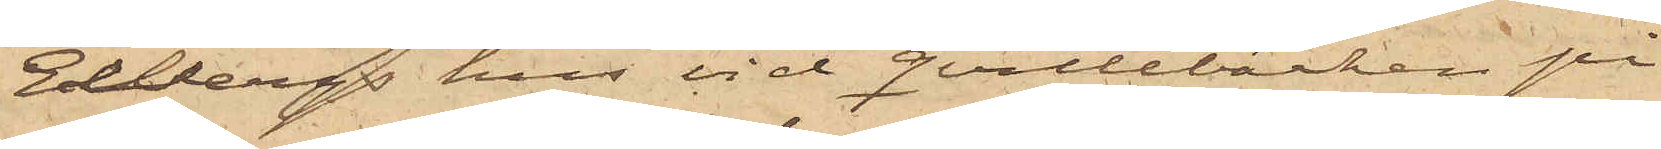Edbergs hus vid Qvillebäcken på
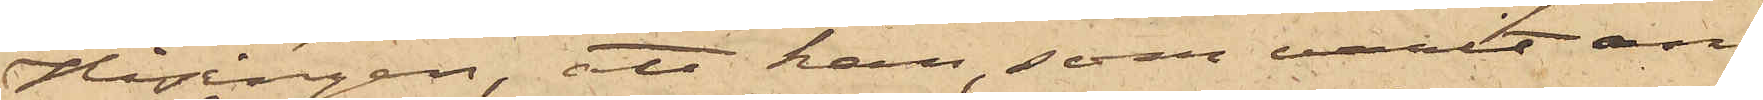Hisingen, att han, som varit an¬
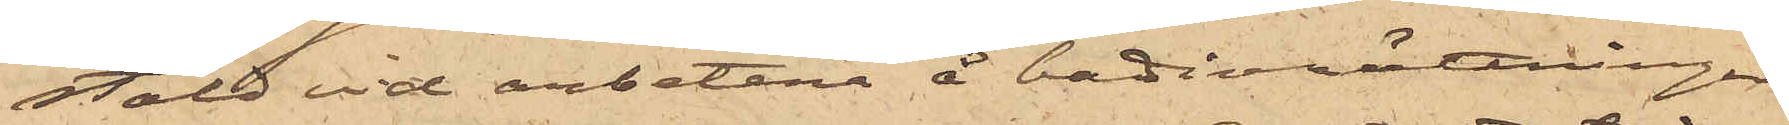stäld vid arbetena å badinrättningen
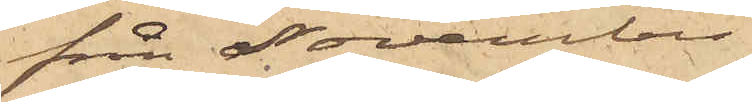från November
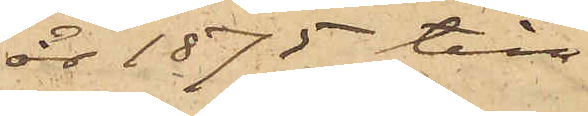år 1875 till
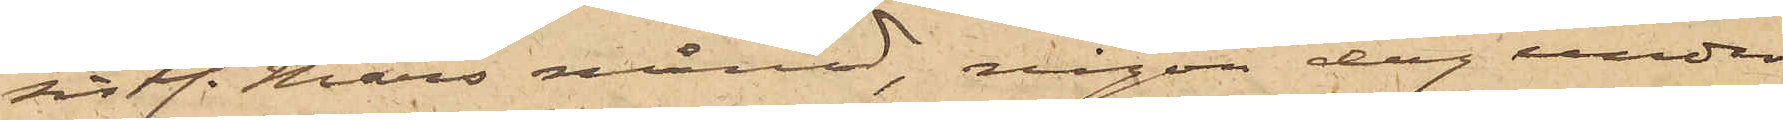sist. Mars månad, någon dag under
